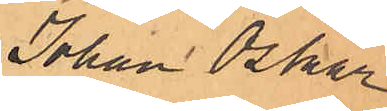Johan Oskar
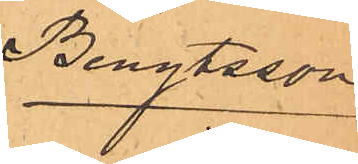Bengtsson
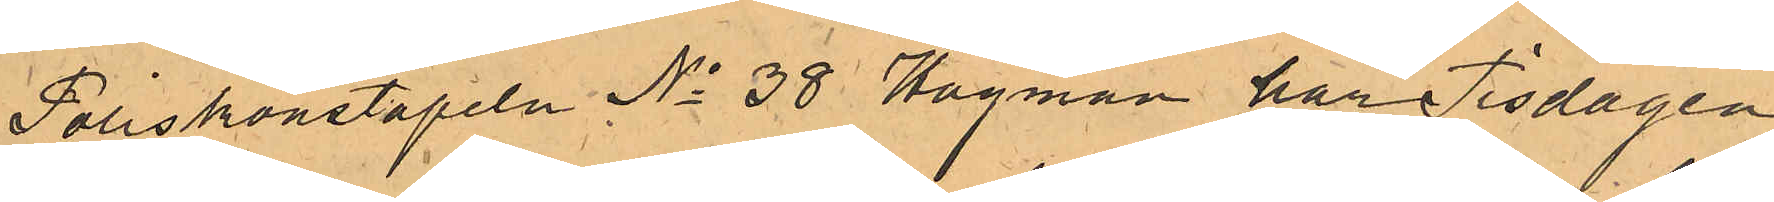Poliskonstapeln No 38 Hagman har Tisdagen
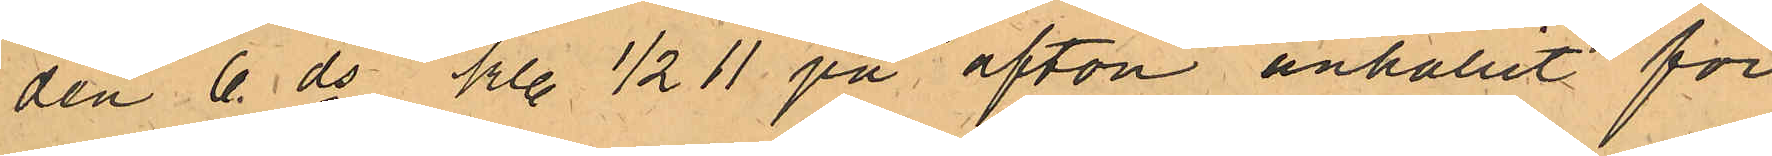den 6 ds kl. 1/2 11 på afton anhållit för
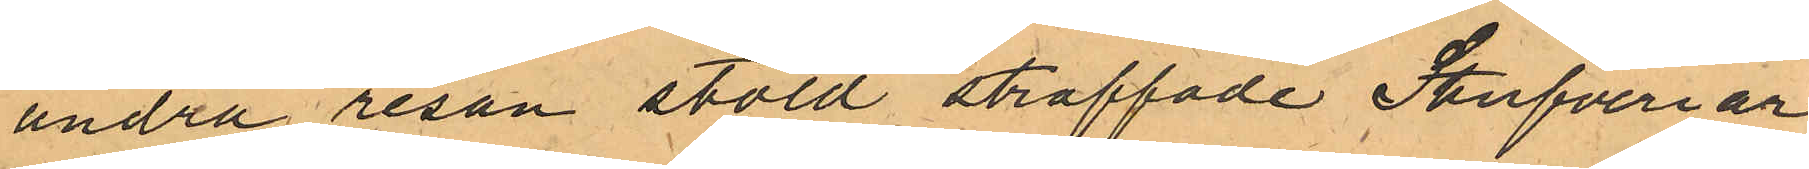andra resan stöld straffade Stufveriar¬
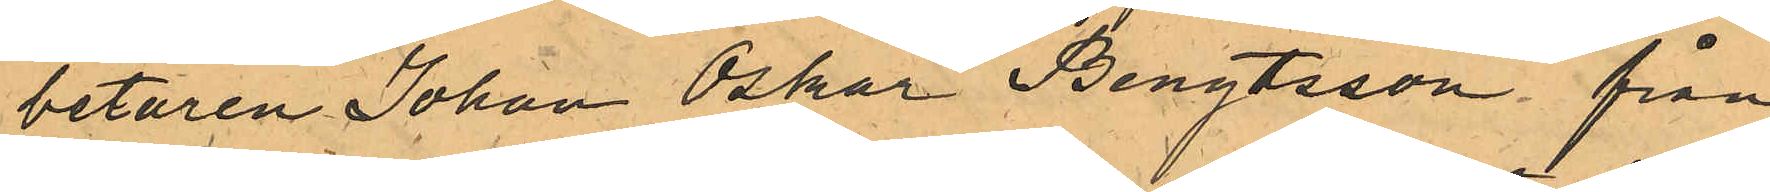betaren Johan Oskar Bengtsson från
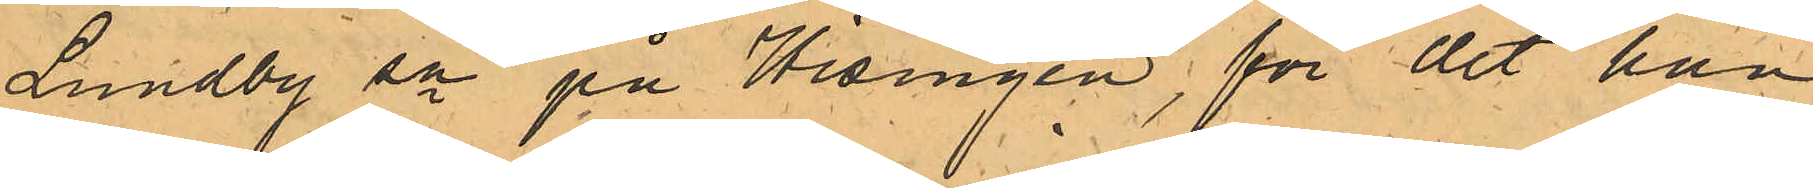Lundby sn på Hisingen, för det han
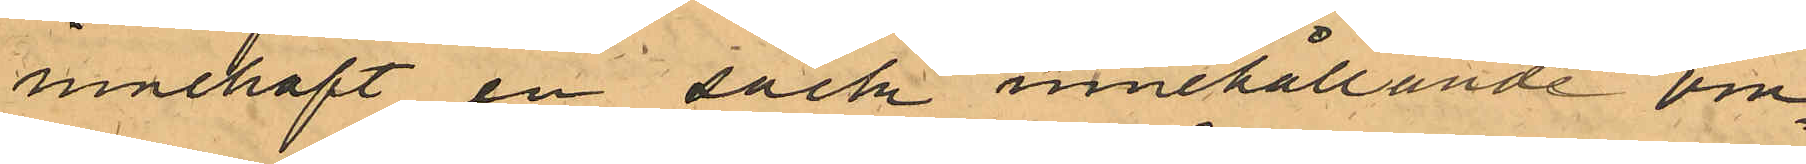innehaft en säck innehållande om¬
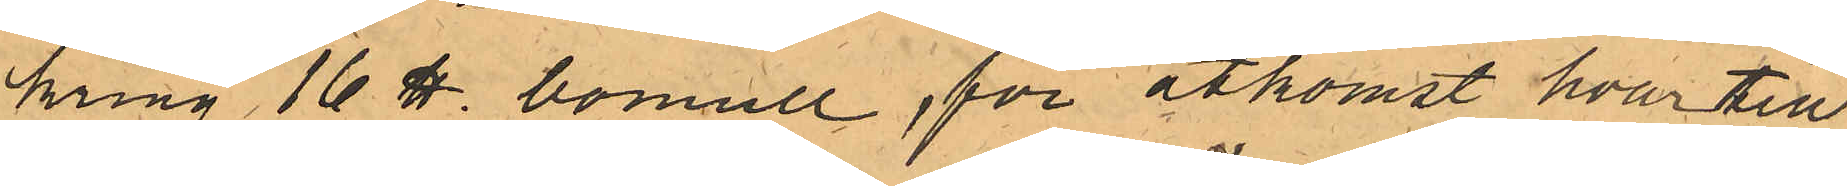kring 16 ℔ bomull, för åtkomst hvartill
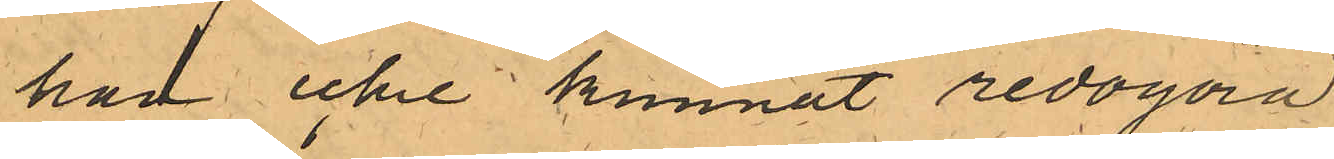han icke kunnat redogöra
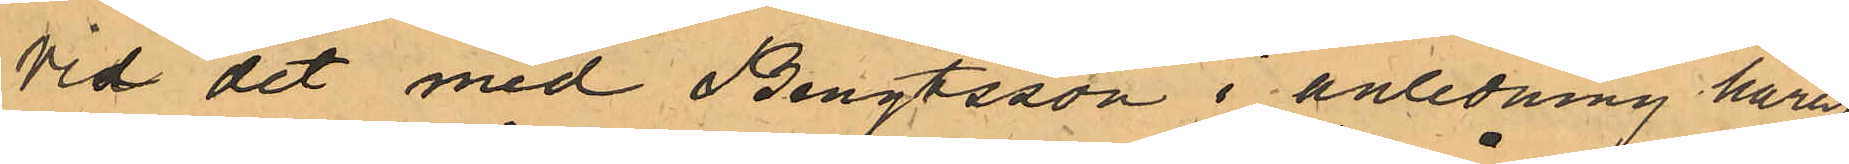Vid det med Bengtsson i anledning häraf
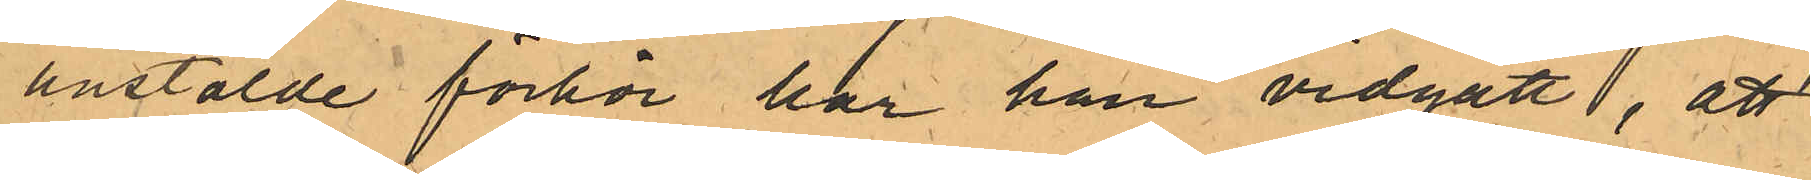anstälde förhör har han vidgått, att
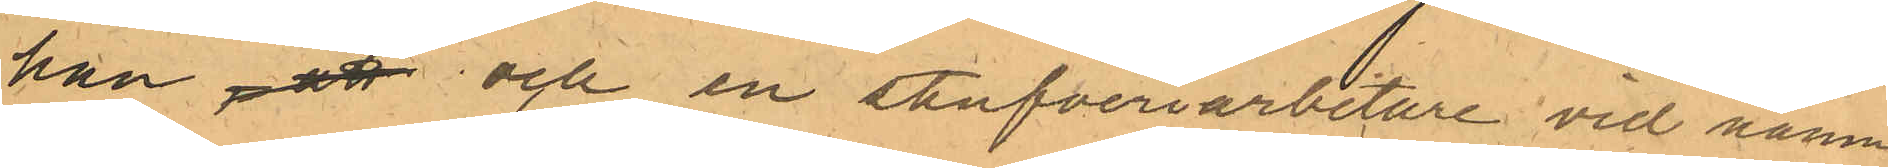han ,att och en stufveriarbetare vid namn
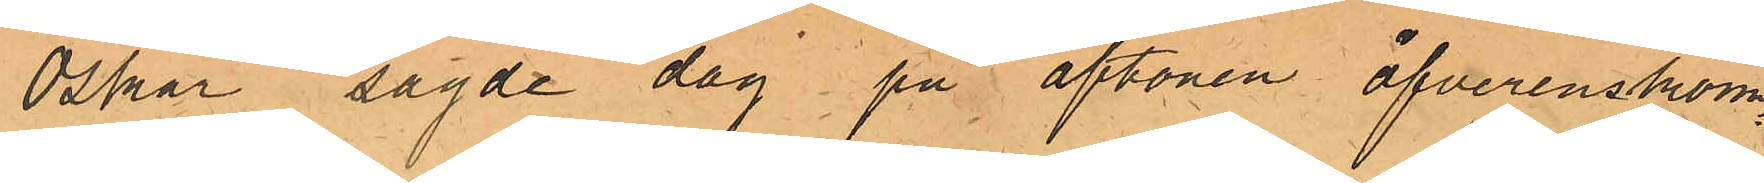Oskar sagde dag på aftonen öfverenskom¬
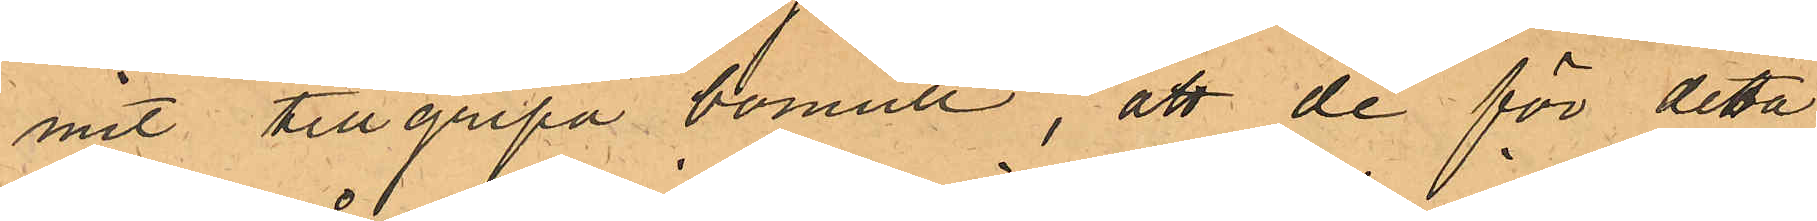mit tillgripa bomull, att de för detta
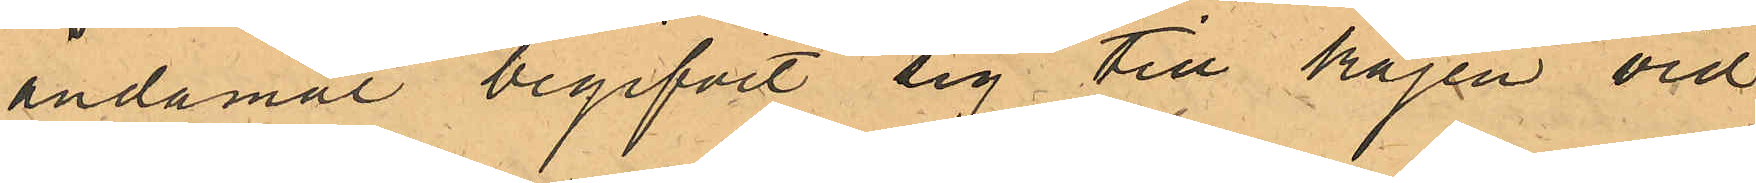ändamål begifvit sig till kajen vid
